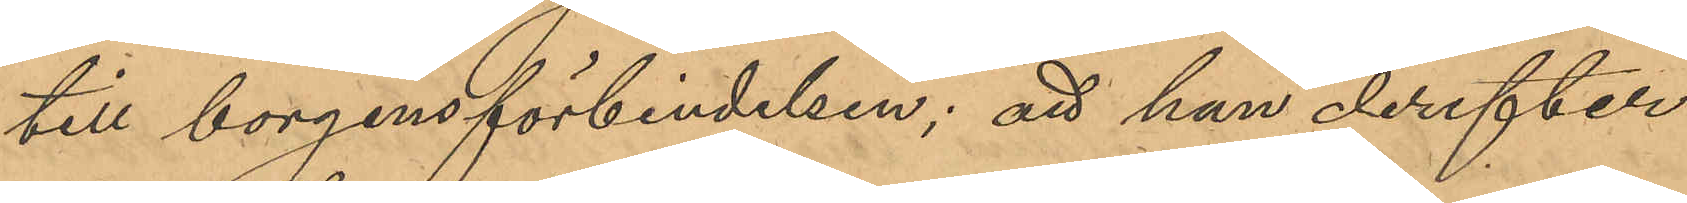till borgensförbindelsen; att han derefter
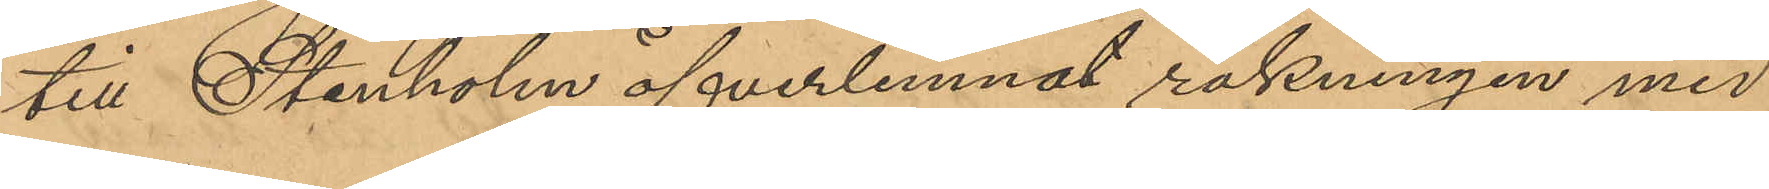till Stenholm öfverlemnat räkningen med
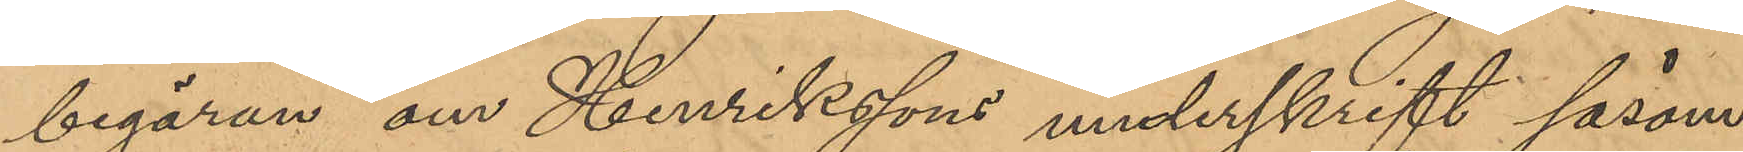begäran om Henrikssons underskrift såsom
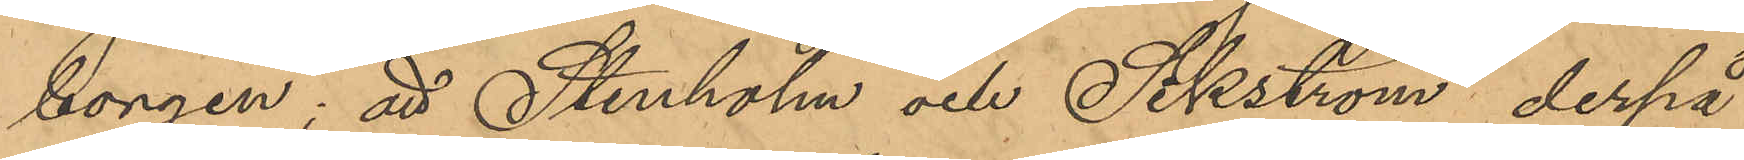borgen; att Stenholm och Sikström derpå
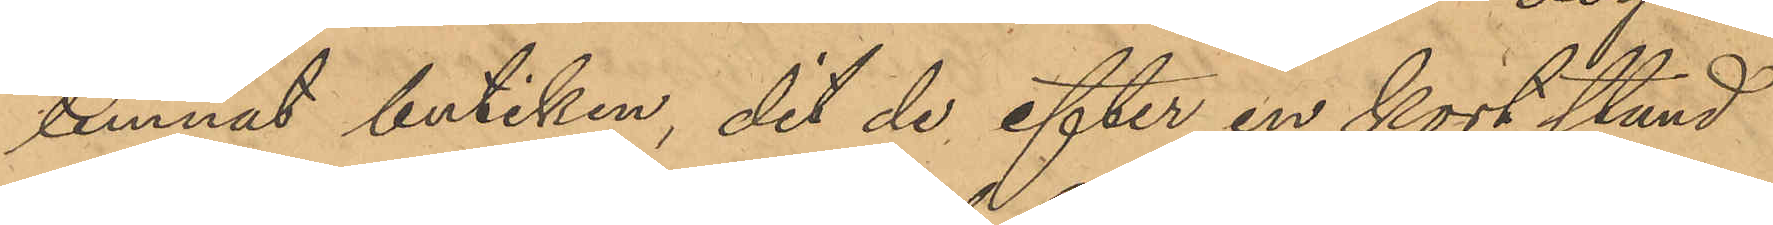lemnat butiken, dit de efter en kort stund
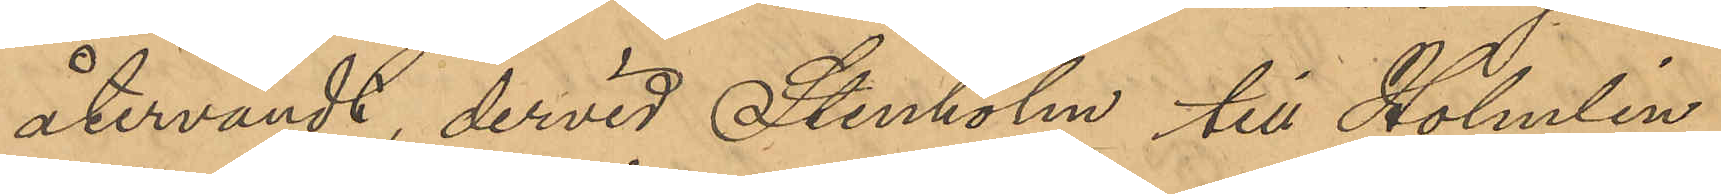återvändt, dervid Stenholm till Holmin
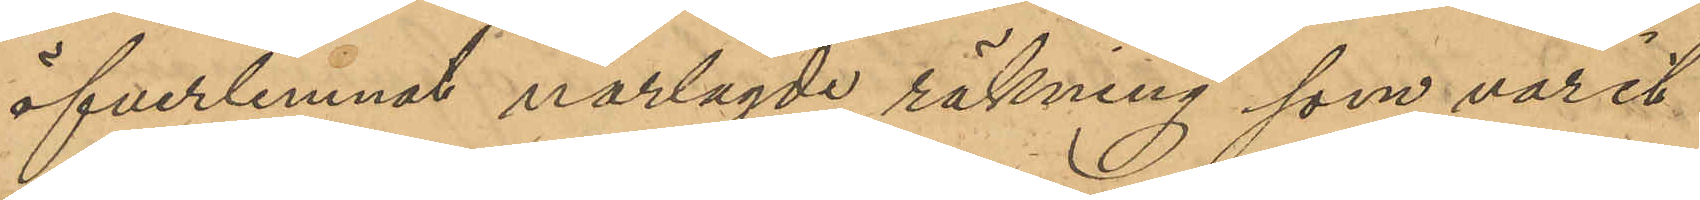öfverlemnat närlagde räkning som varit
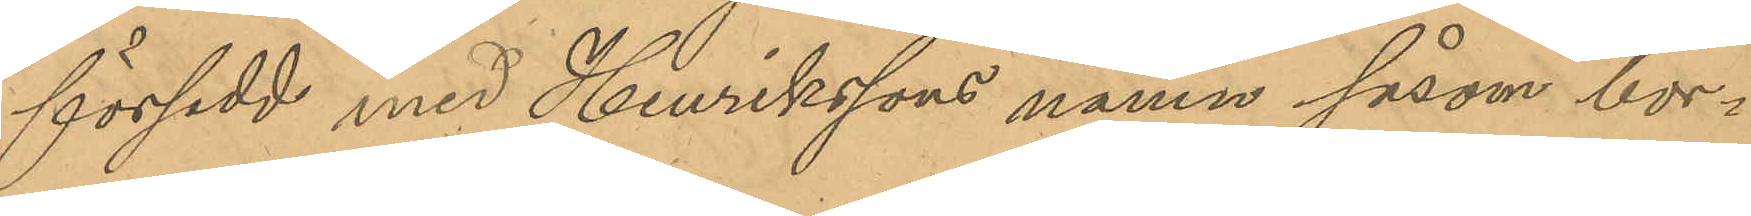försedd med Henrikssons namn såsom bor¬
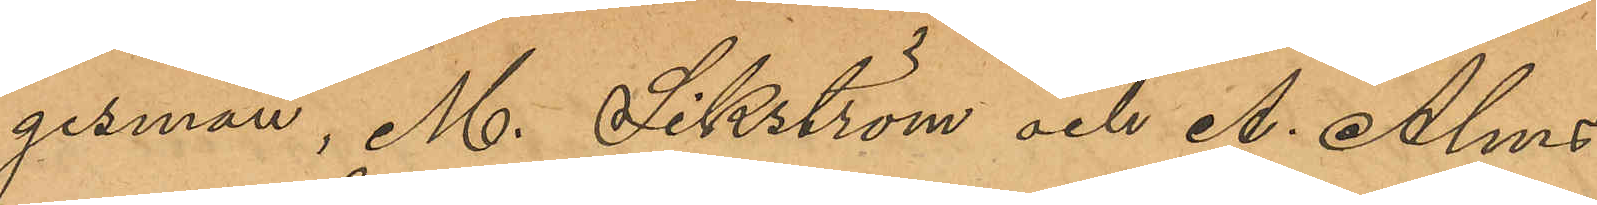gesman, M. Sikström och A. Alms
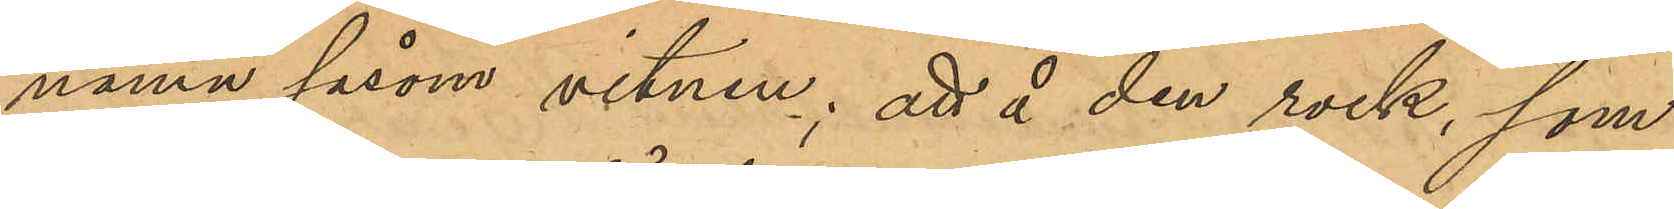namn såsom vitnen; att å den rock, som
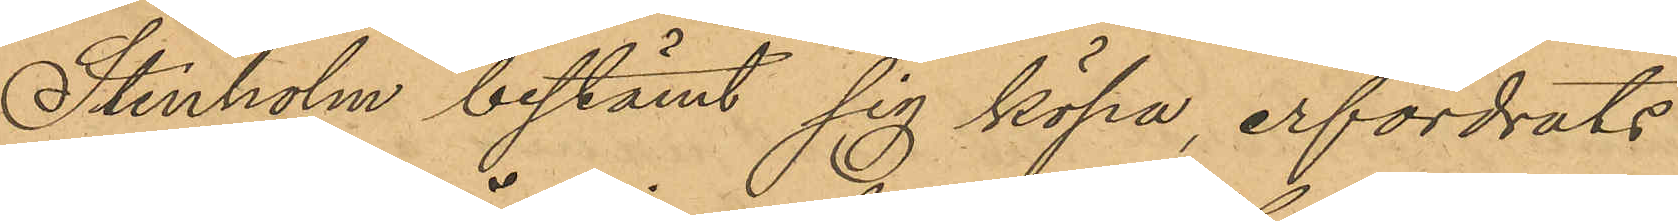Stenholm bestämt sig köpa, erfordrats
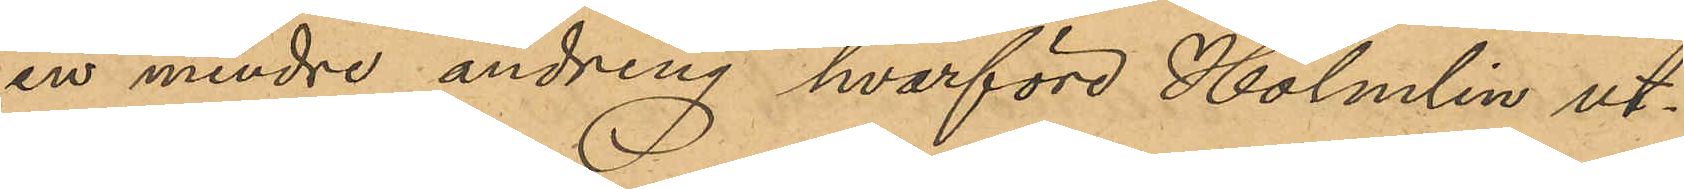en mindre ändring hvarför Holmlin ut¬
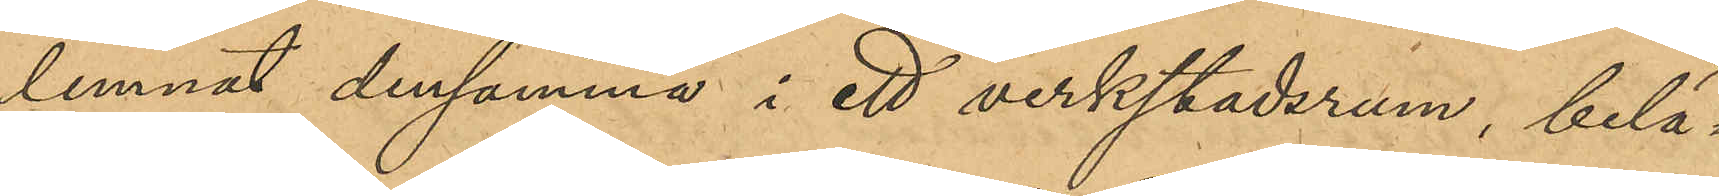lemnat densamma i ett verkstadsrum, belä¬
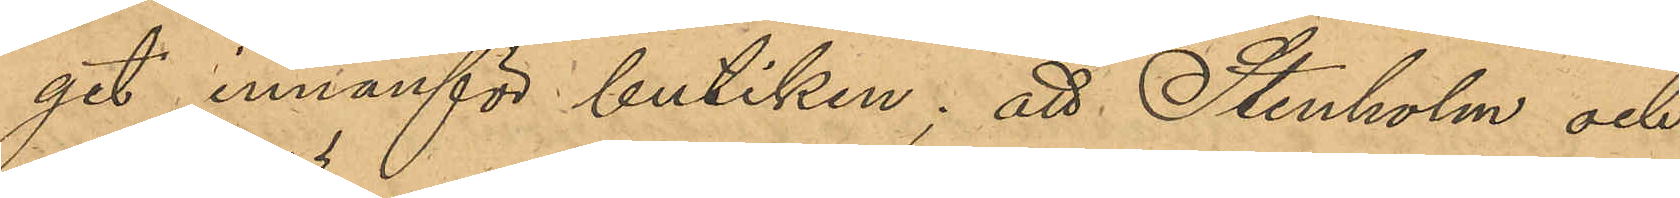get innanför butiken; att Stenholm och
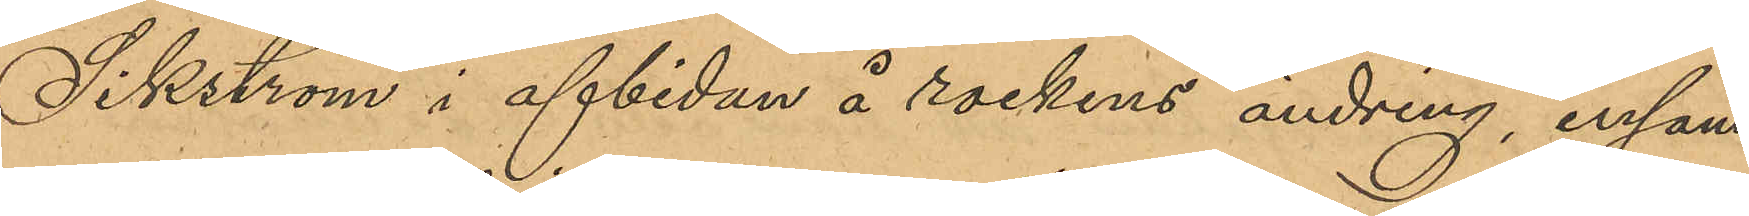Sikström i afbidan å rockens ändring, ensam¬
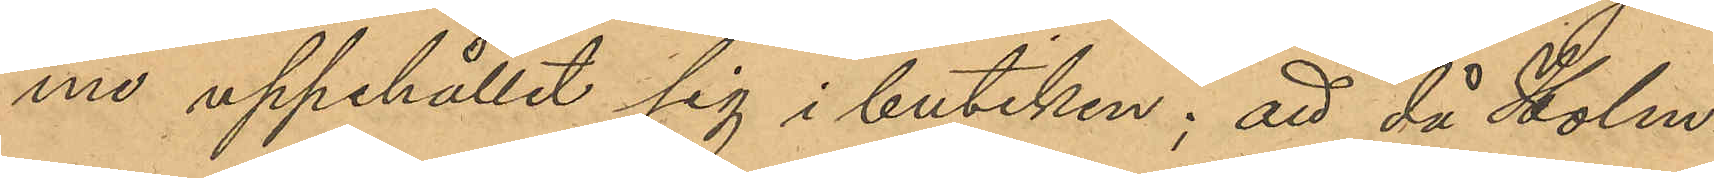me uppehållit sig i butiken; att då Holm¬
